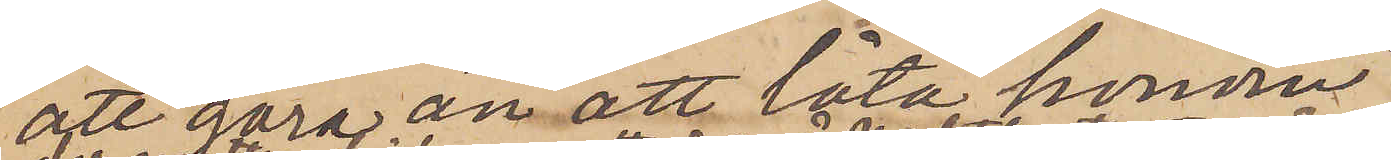att göra än att låta honom,
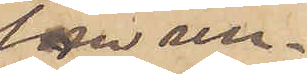som un¬
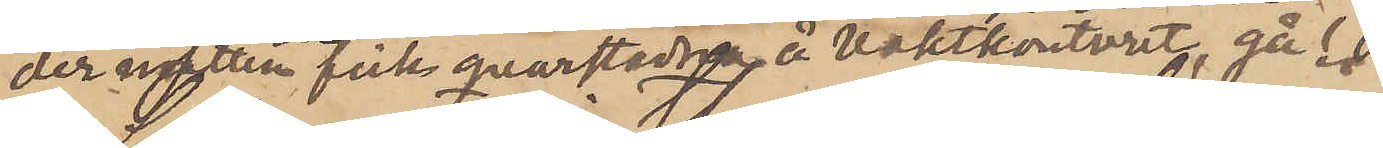der natten fick qvarstanna å vaktkontoret, gå.
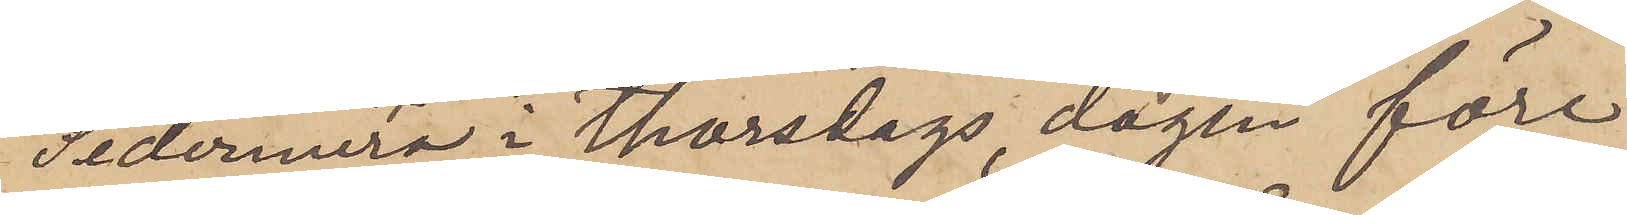Sedermera i Thorsdags, dagen före
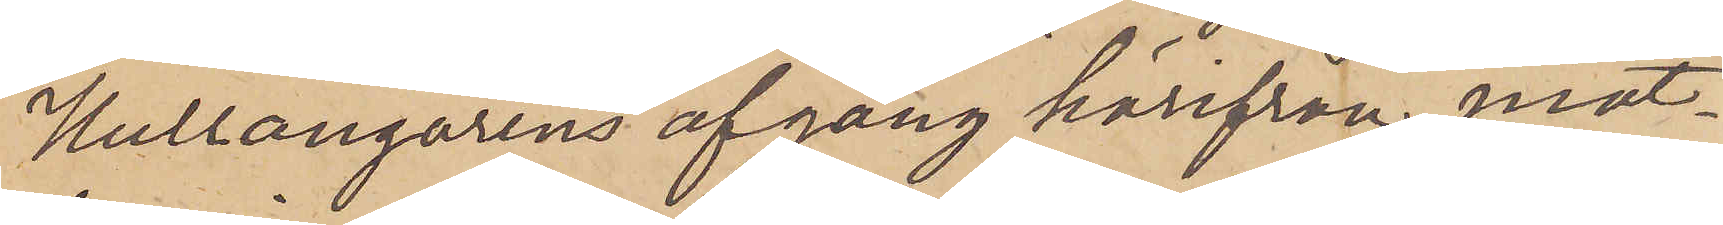Hullångarens afgång härifrån, mot¬
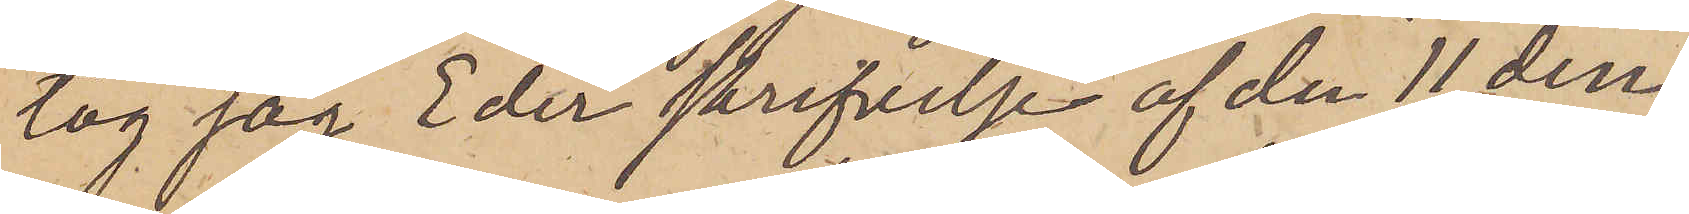tog jag Eder skrifvelje af den 11 den¬
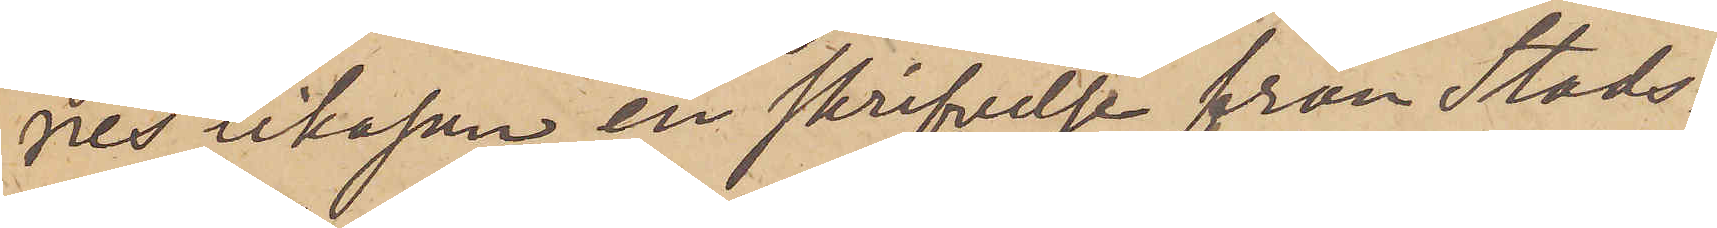nes likasom en skrifvelse från Stads¬
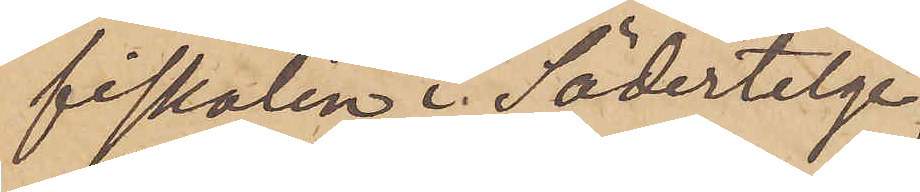fiskalen i Södertelge,
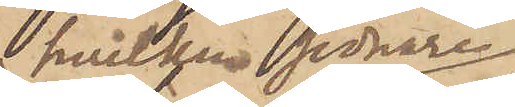hvilkensenare
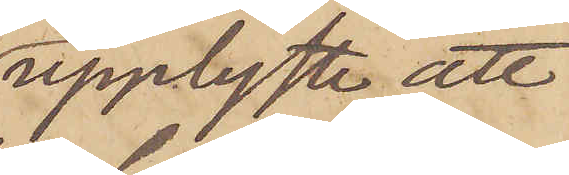upplyste, att
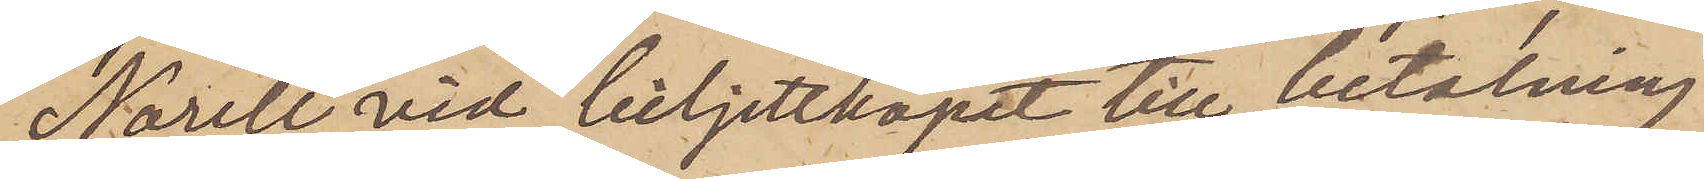Norell" vid biljettköpet till betalning
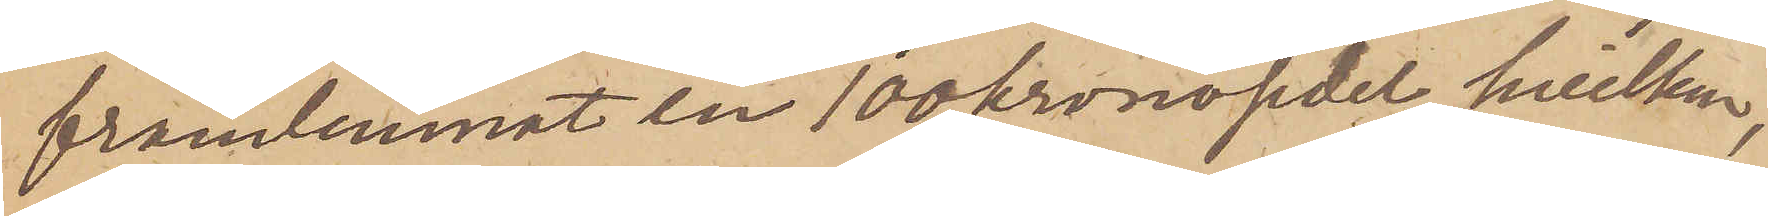framlemnat en 100 kronosedel, hvilken,
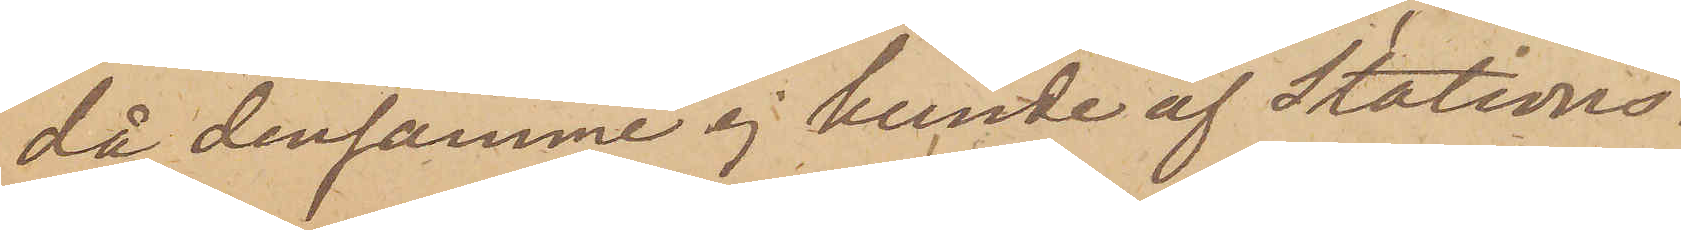då densamme ej kunde af Stations¬
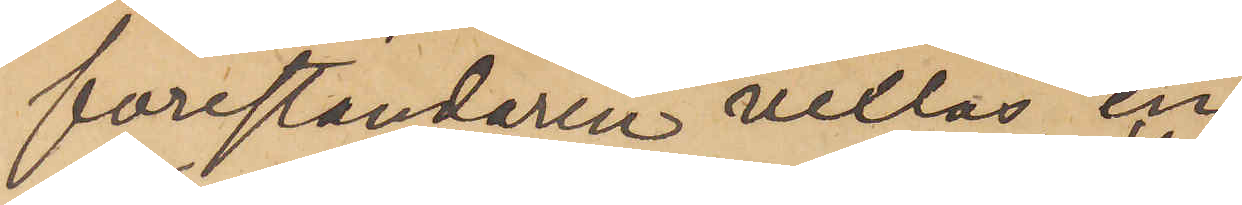föreståndaren vexlas, en
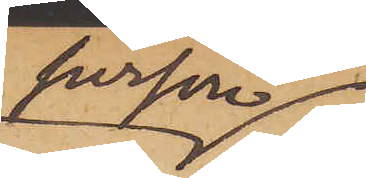person
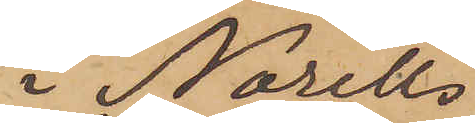i Norells
